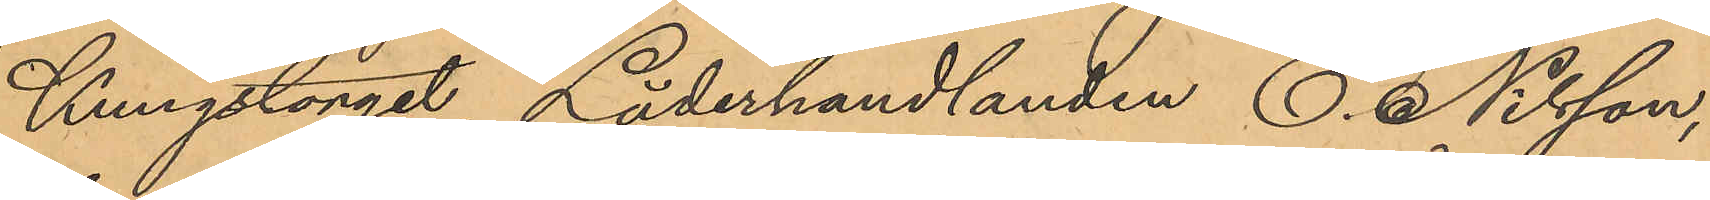Kungstorget, Läderhandlanden C. Nilsson,
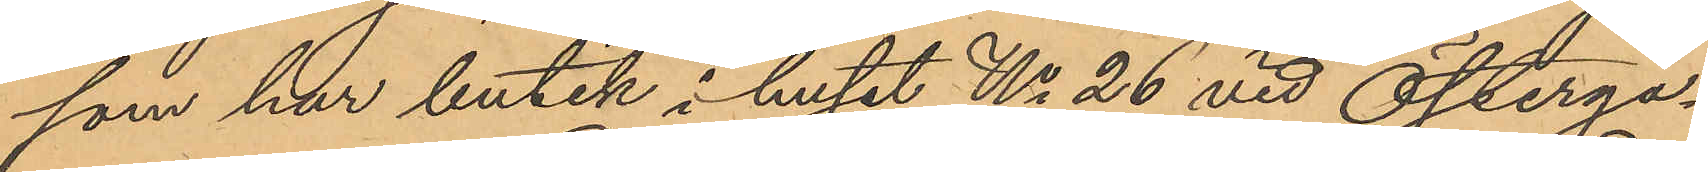som har butik i huset No 26 vid Österga¬
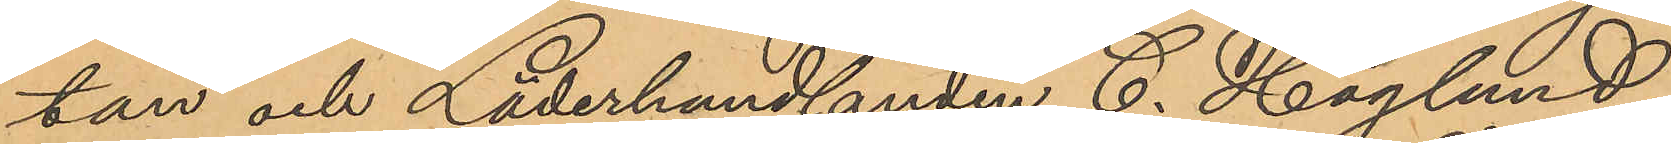tan och Läderhandlanden C. Haglund,
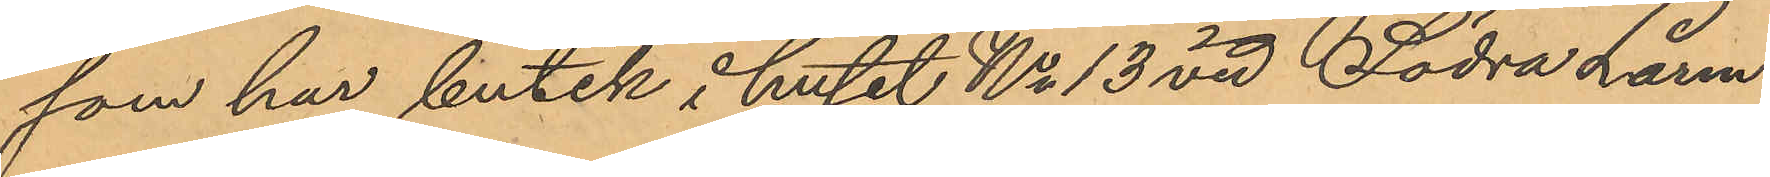som har butik i huset No 13 vid Södra Larm¬
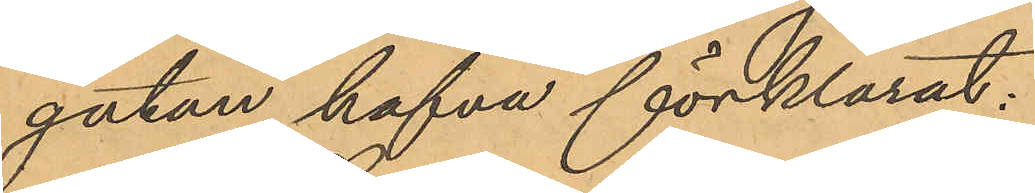gatan, hafva förklarat:
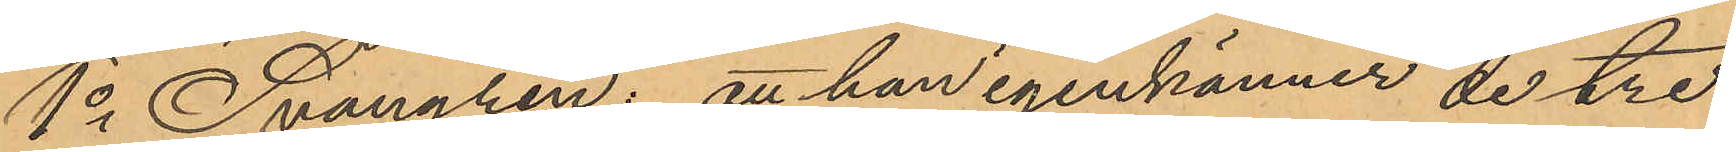1o Svangren: att han igenkänner de tre
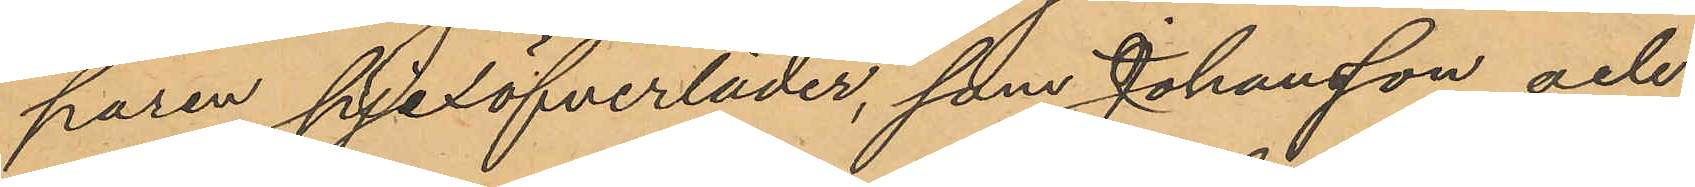paren pjexöfverläder, som Johansson och
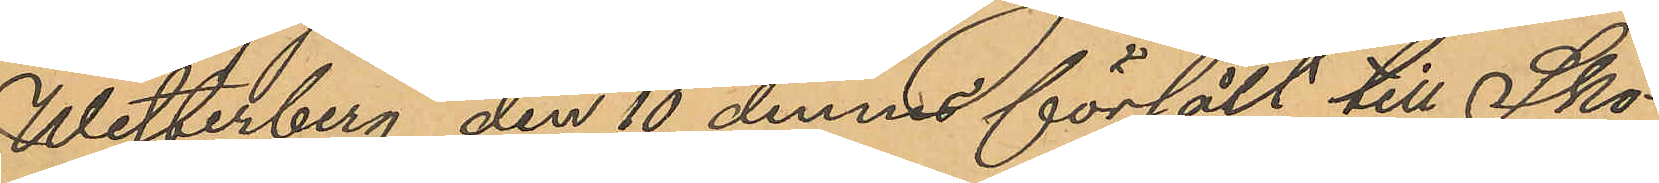Westerberg den 10 dennes försålt till Sko¬
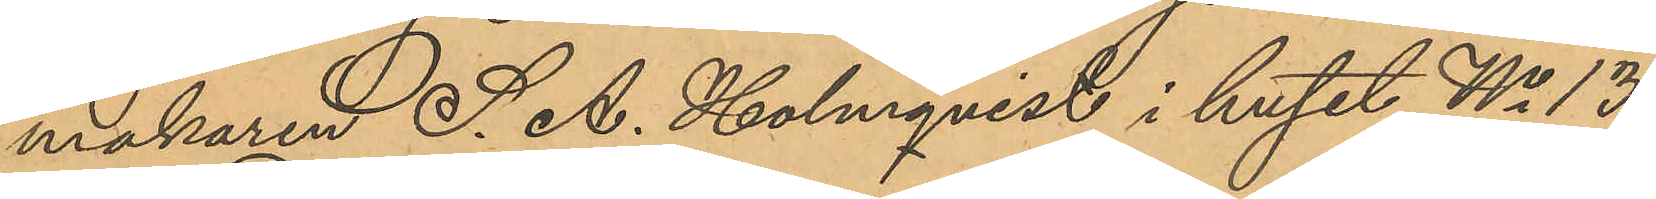makaren S. A. Holmqvist i huset No 13
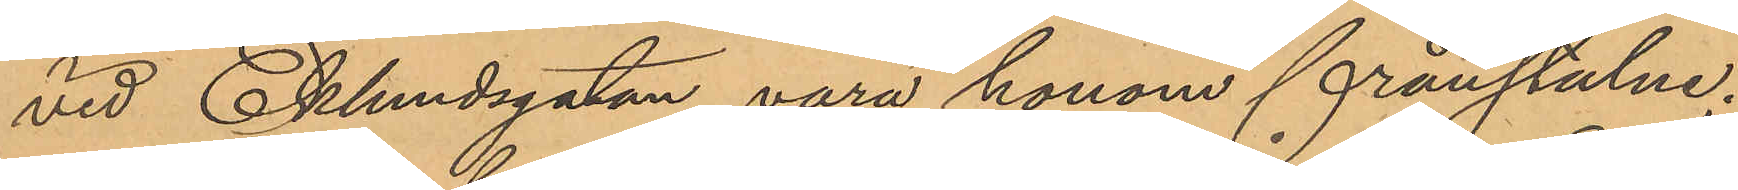vid Eklundsgatan vara honom frånstulne;
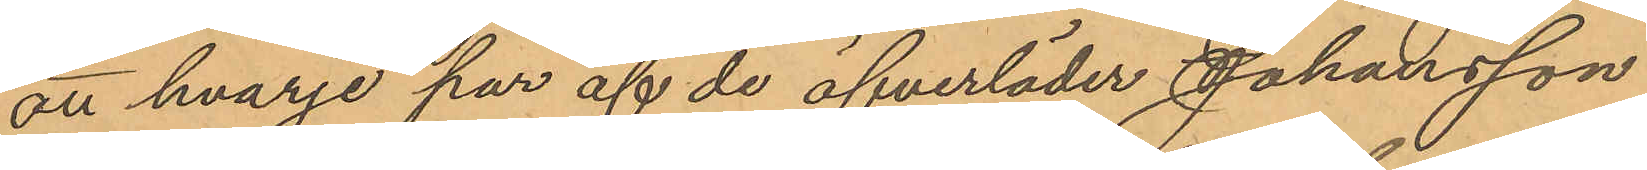att hvarje par af de öfverläder Johansson
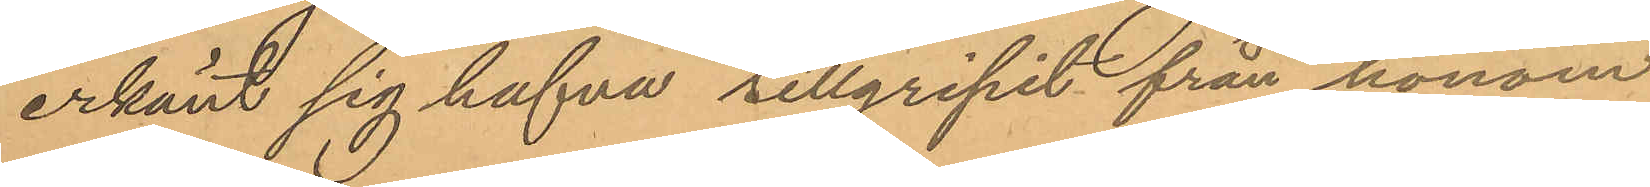erkänt sig hafva tillgripit från honom
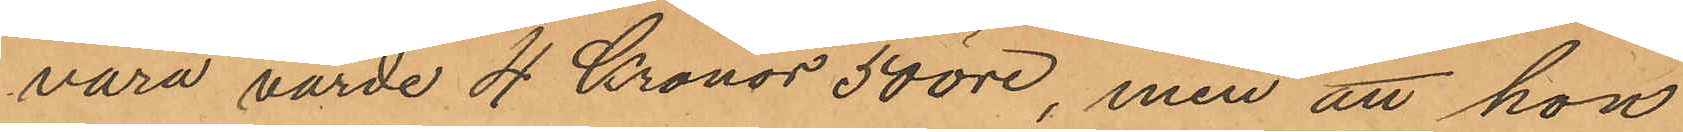vara värde 4 Kronor 50 öre, men att han
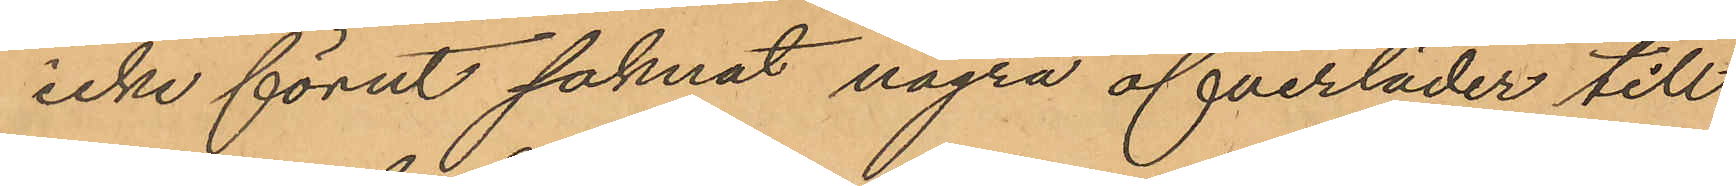icke förut saknat några öfverläder till
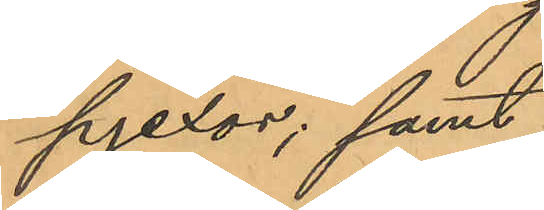pjexor; samt
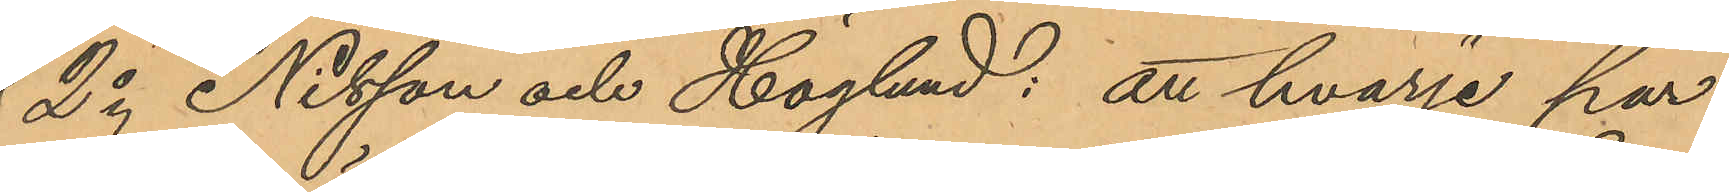2o Nilsson och Höglund: att hvarje par
